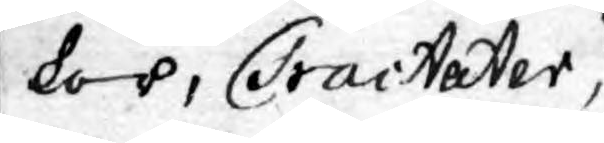kor, Tractater,
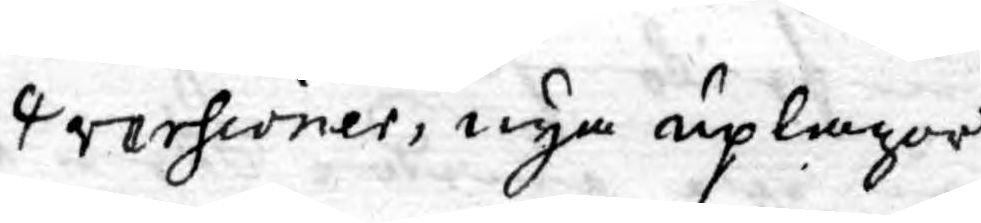versioner, nya uplagor
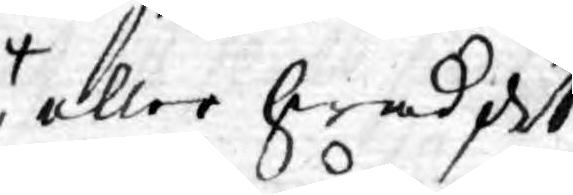eller hwad det
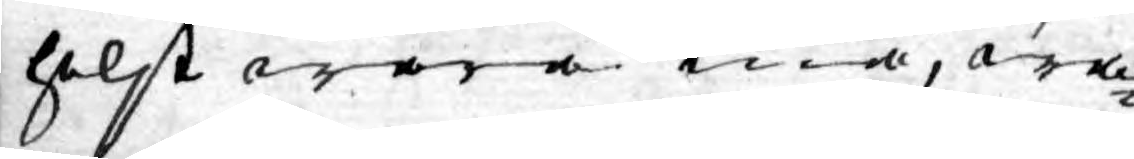helst wara må, wa¬
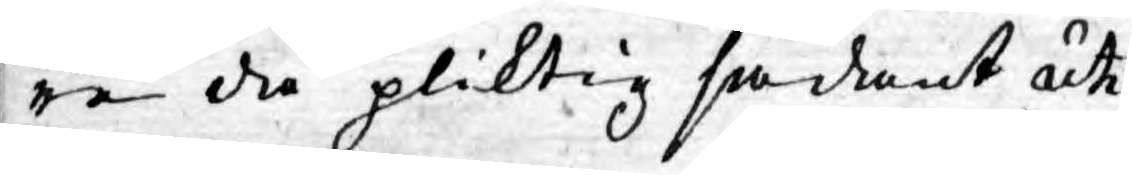re då pliktig sådant uti
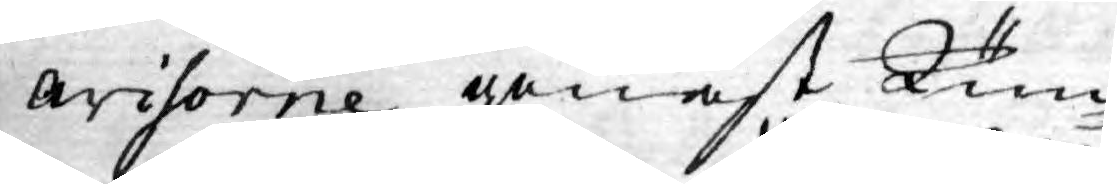avisorne genast kun¬
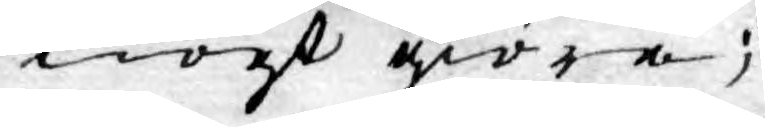nogt giöra;
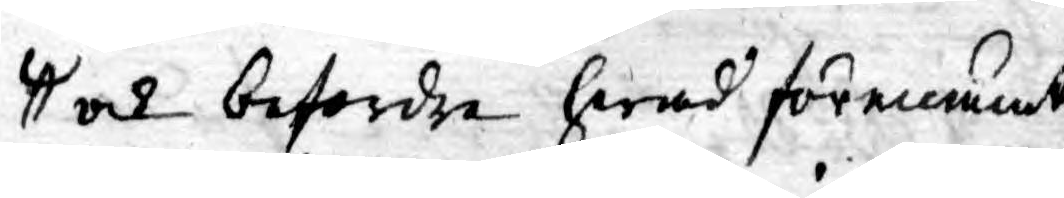och befordra hwad förenämt
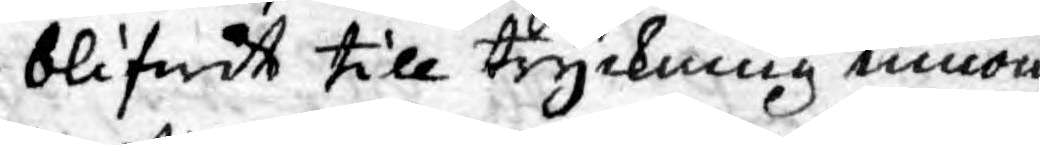blifwit till tryckning innom
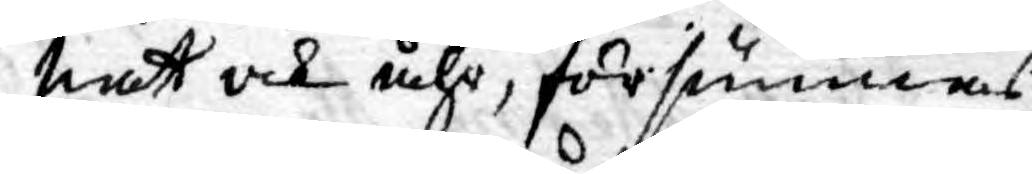natt och åhr, försummas
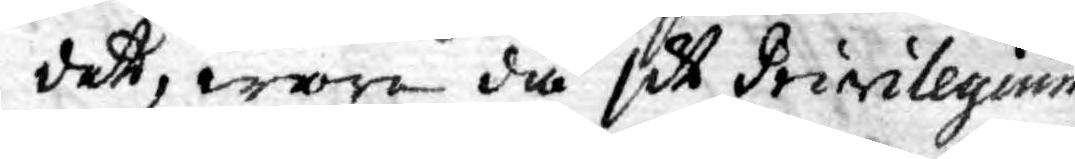det, ware då sitt Privilegium
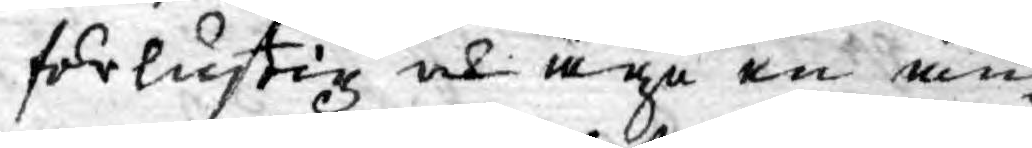förlustig och äga en an¬
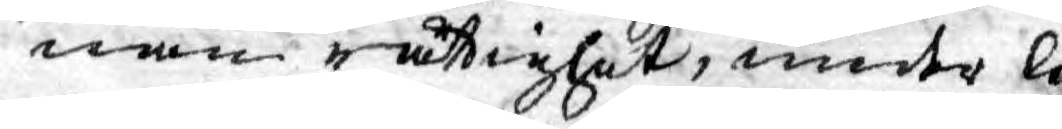nan rättighet, under li¬
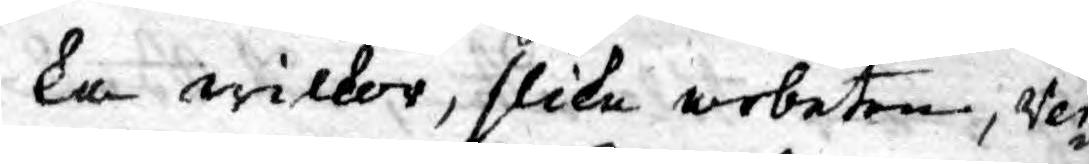ka wilkor, slika arbeten, Ver¬
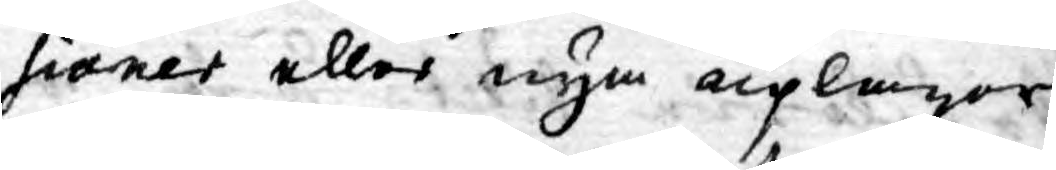sioner eller nya uplagor
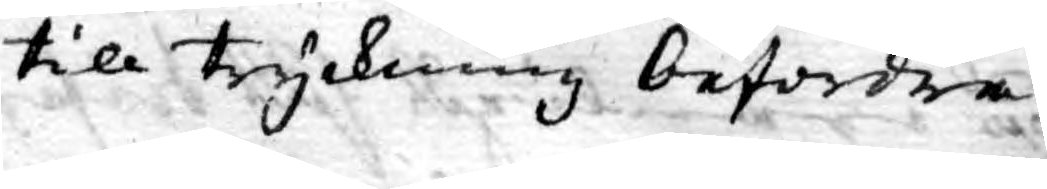till tryckning befordra.
